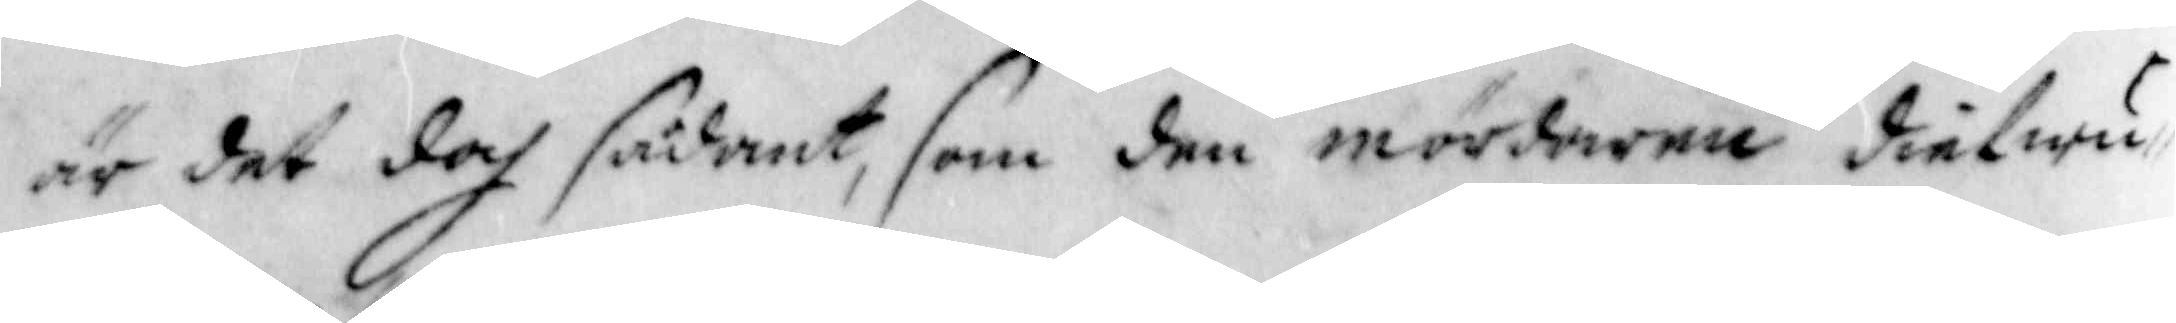är det doch sådant, som den mördarna diefwu¬
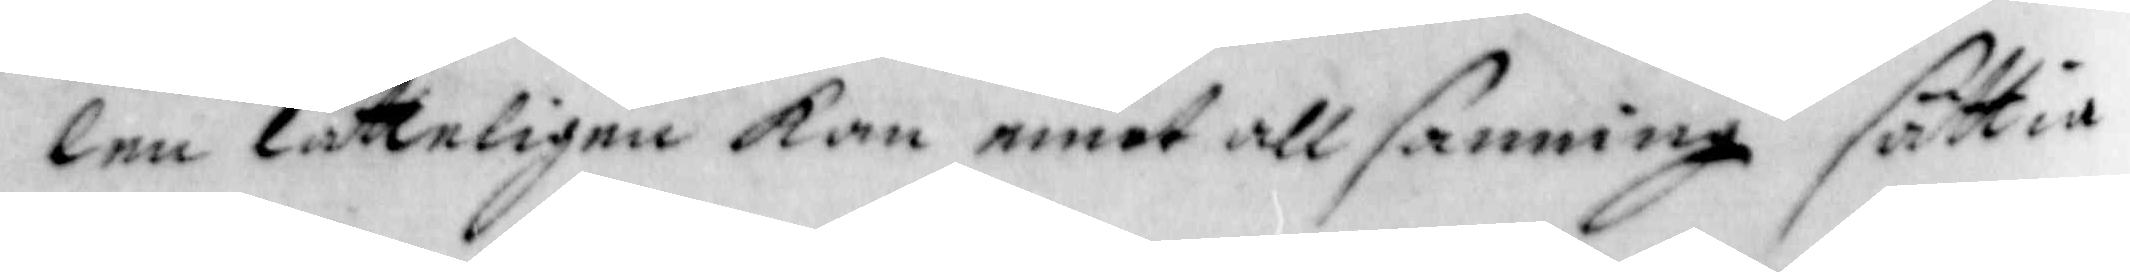len lätteligen kan emot all sanning sättia
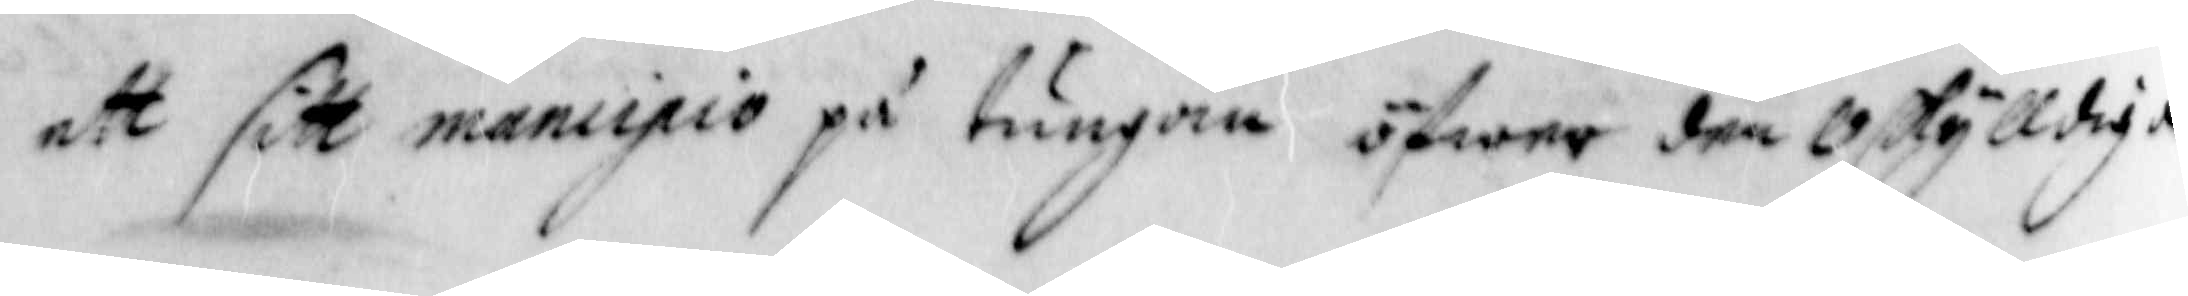ett sitt mancipio på tungan öfwer den Oskylldige
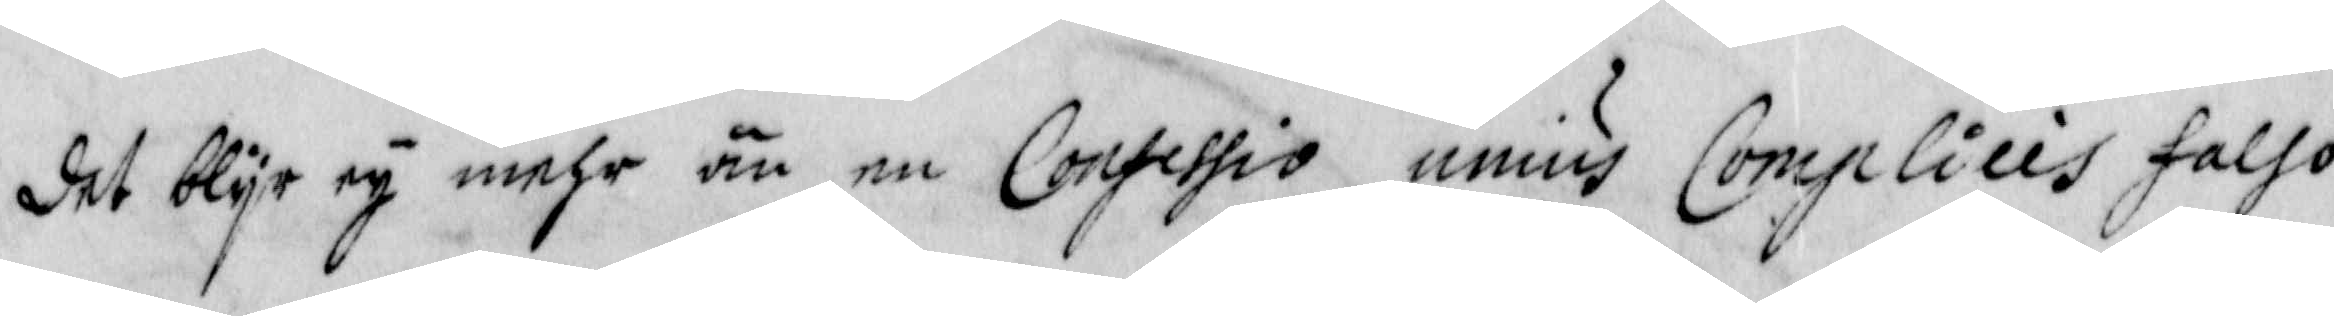det blyr ey mehr än en Confessio unius Complicis falso
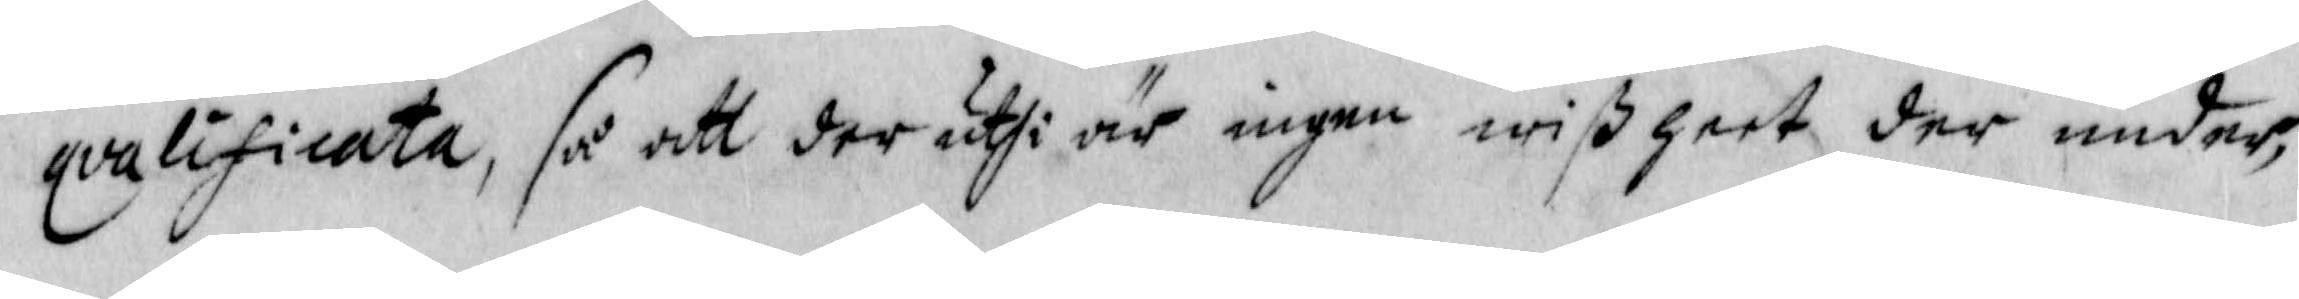qvalificata, så att den uthi är ingen wißheet der under,
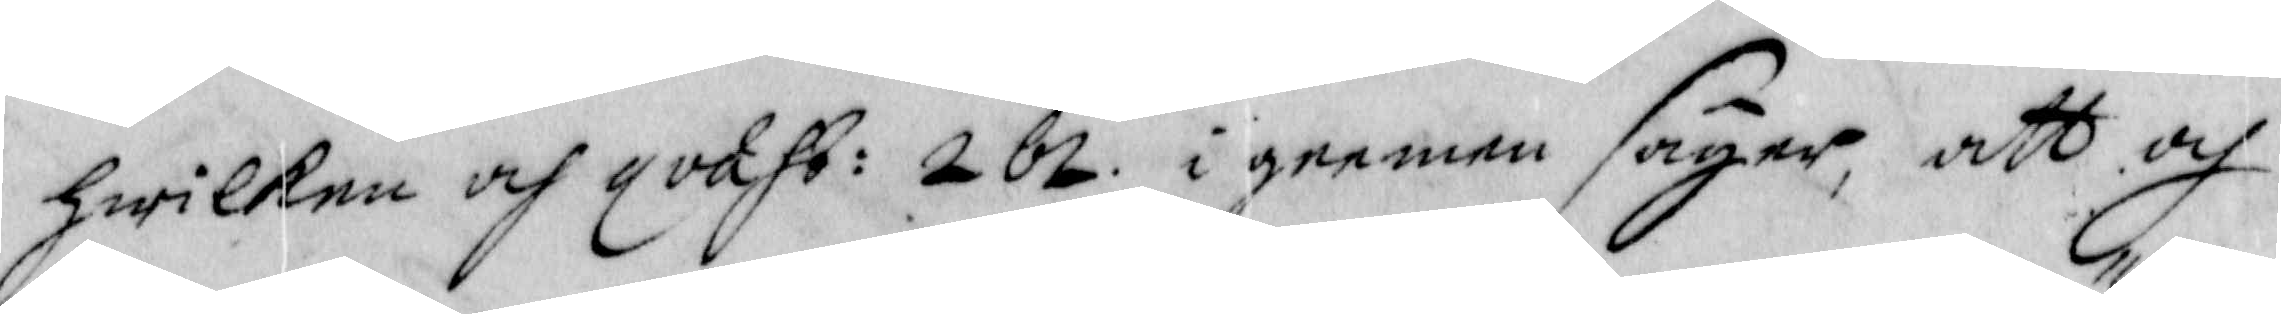hwilken och qvaht: 262 igeemen säyer, att och
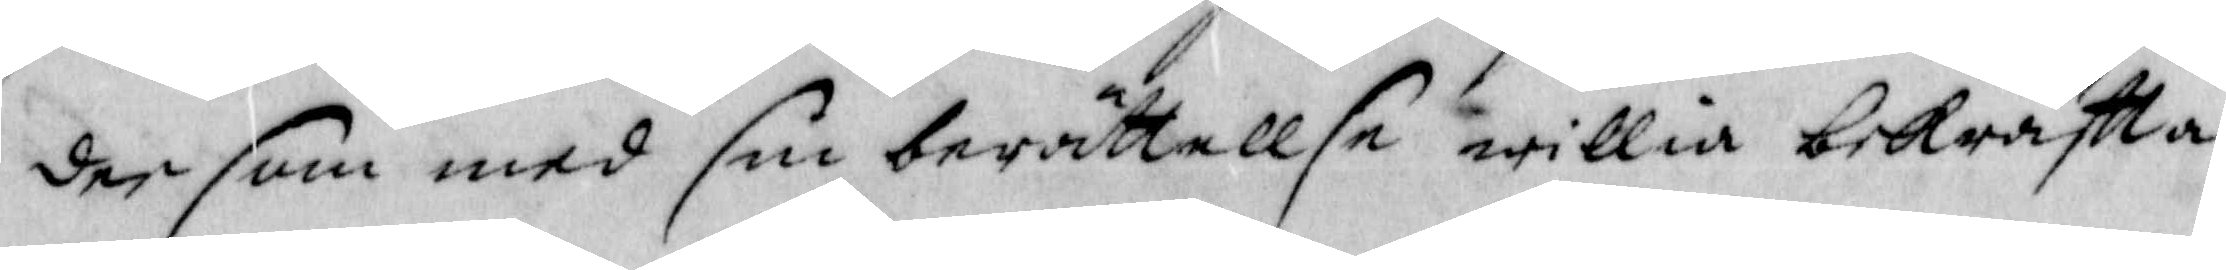der som med sin berättellse willia bekräfta
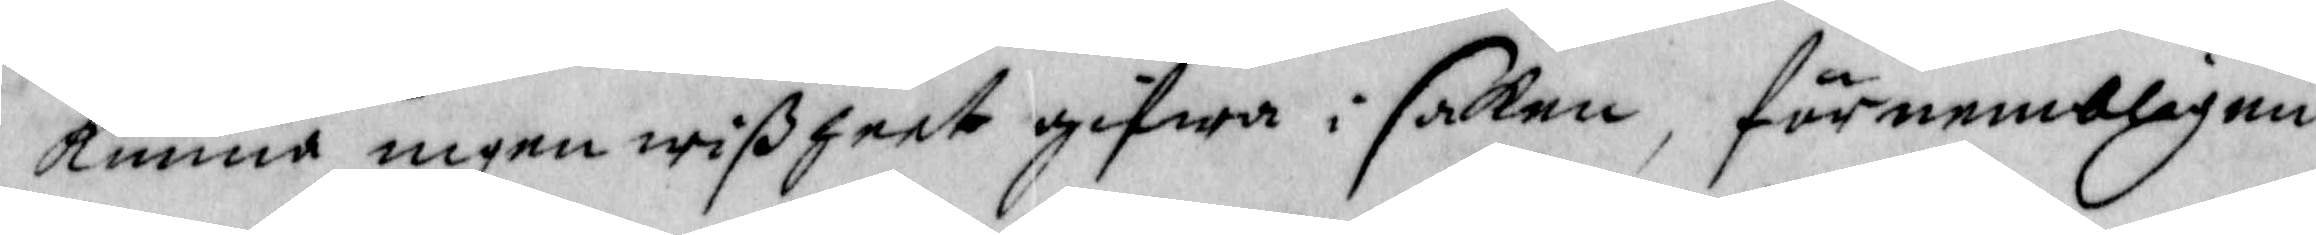kunna ingen wißheet gifwa i saken, förnembligen
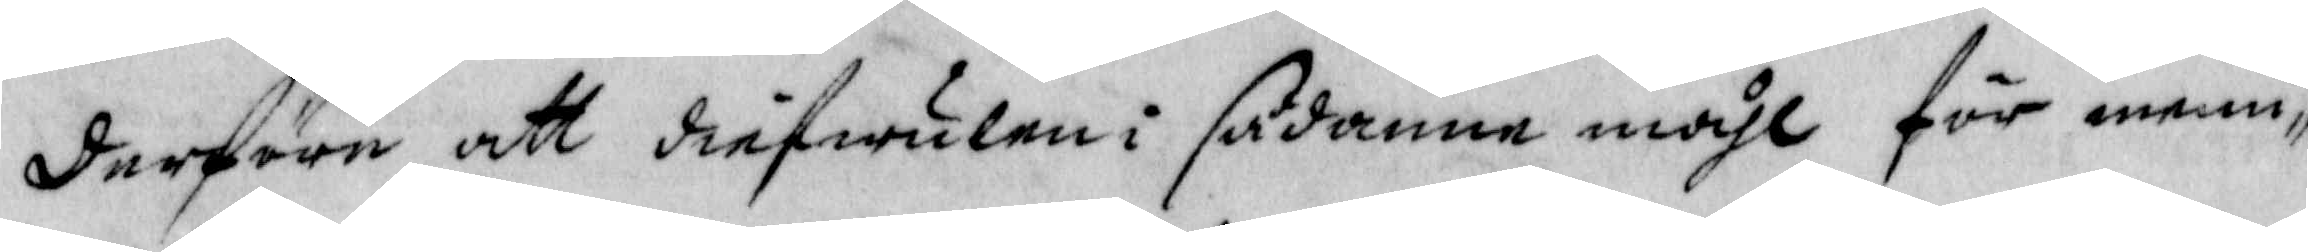derföre att diefwulen i sådanne måhl för menni¬
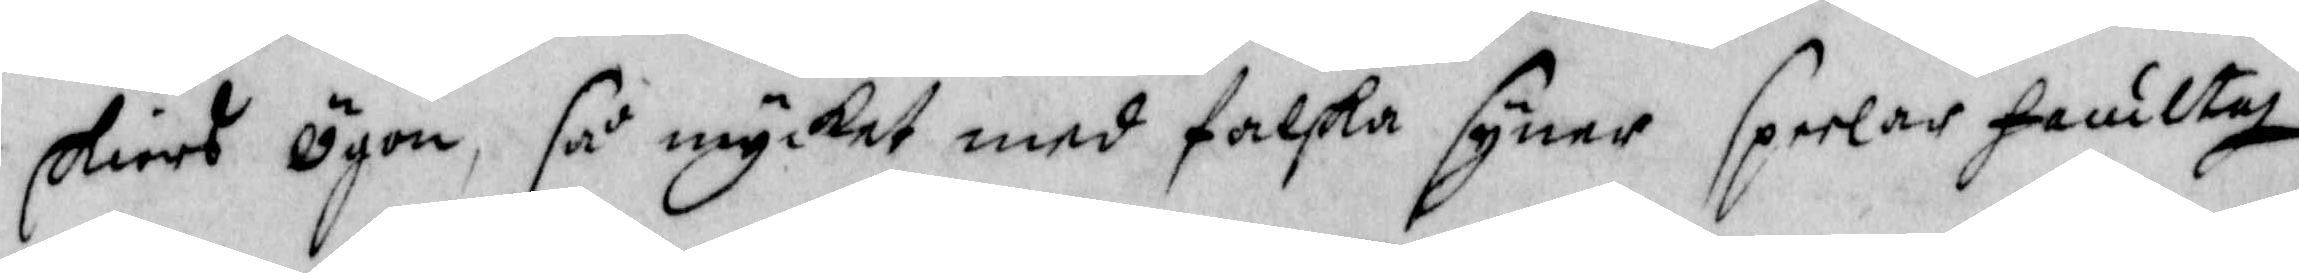skiors ögon, så mycket med falska syner speelar faultis
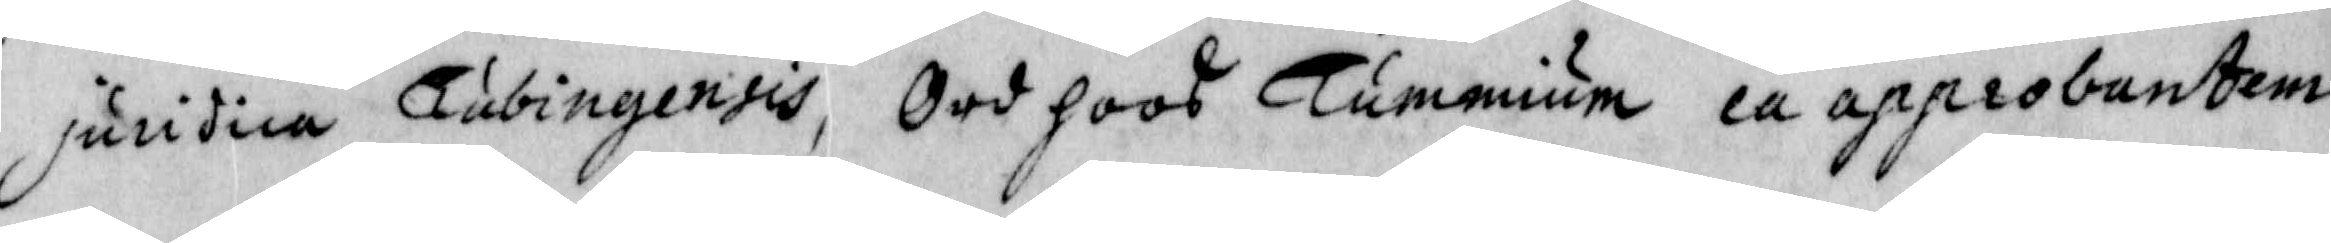juridica Tubingensis, Ord hoos Tummium ea approbantem
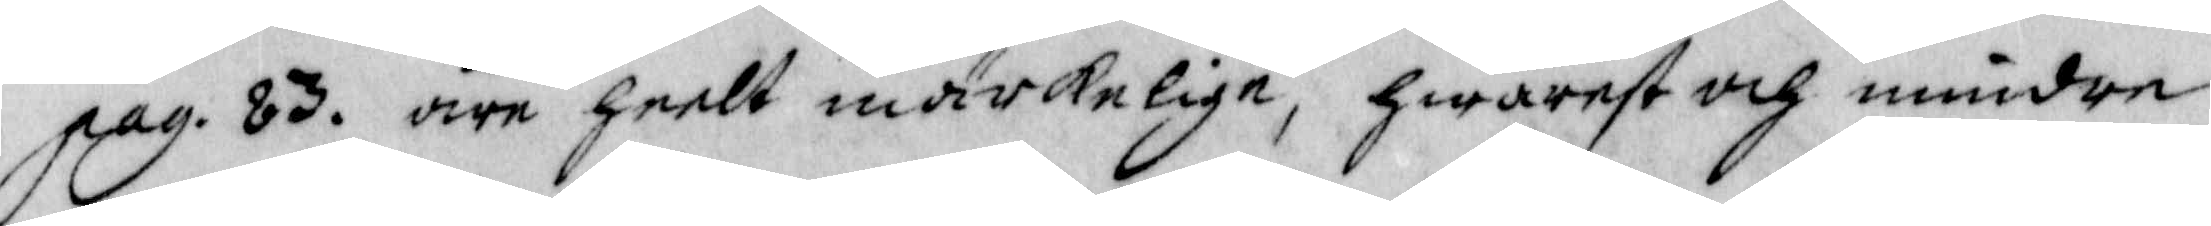pag. 83. äre heelt märkelige, hwarest och mindre
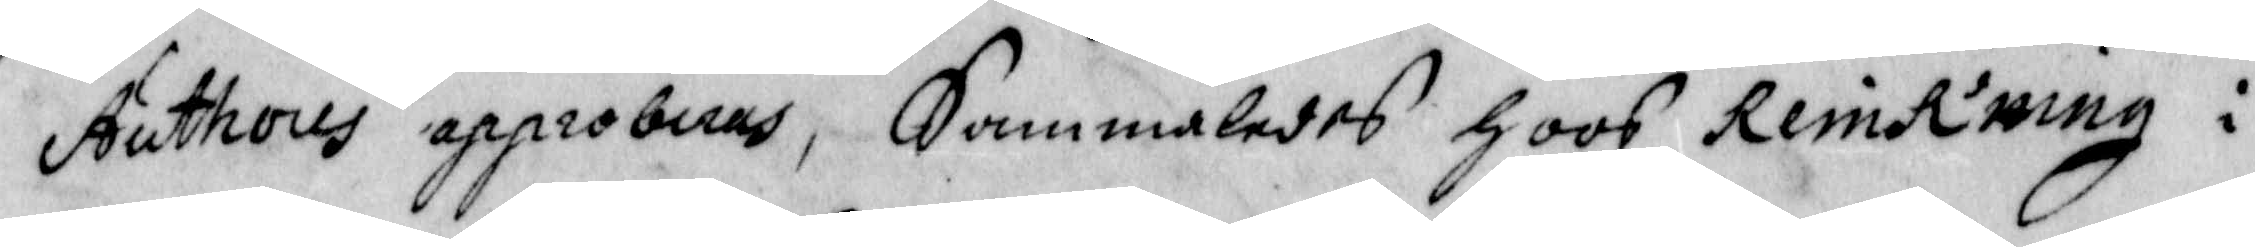Authores approberas, Sammaledes hoos ReinRning i
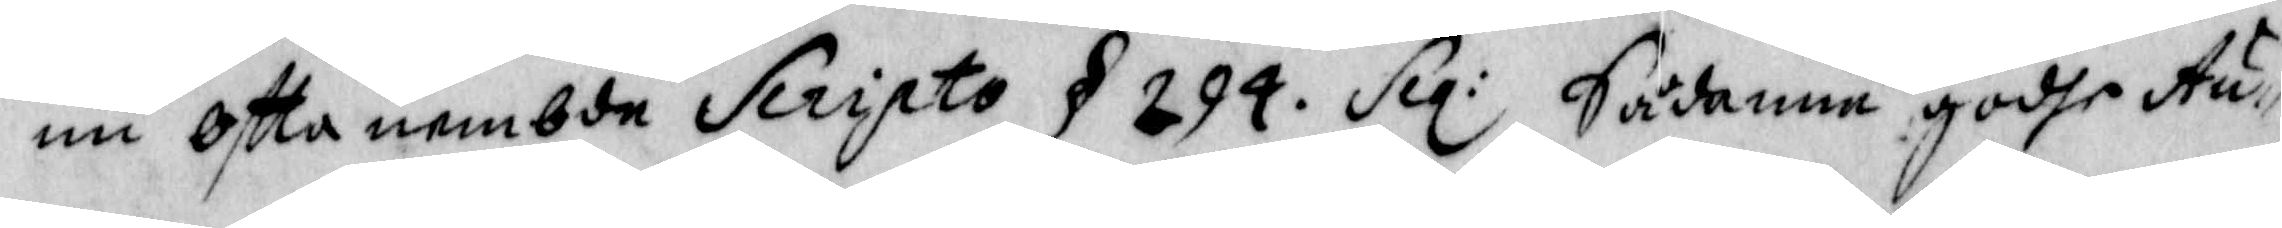nu oftta nembde Scripto § 294. Scq: Sådanne godhe Au¬
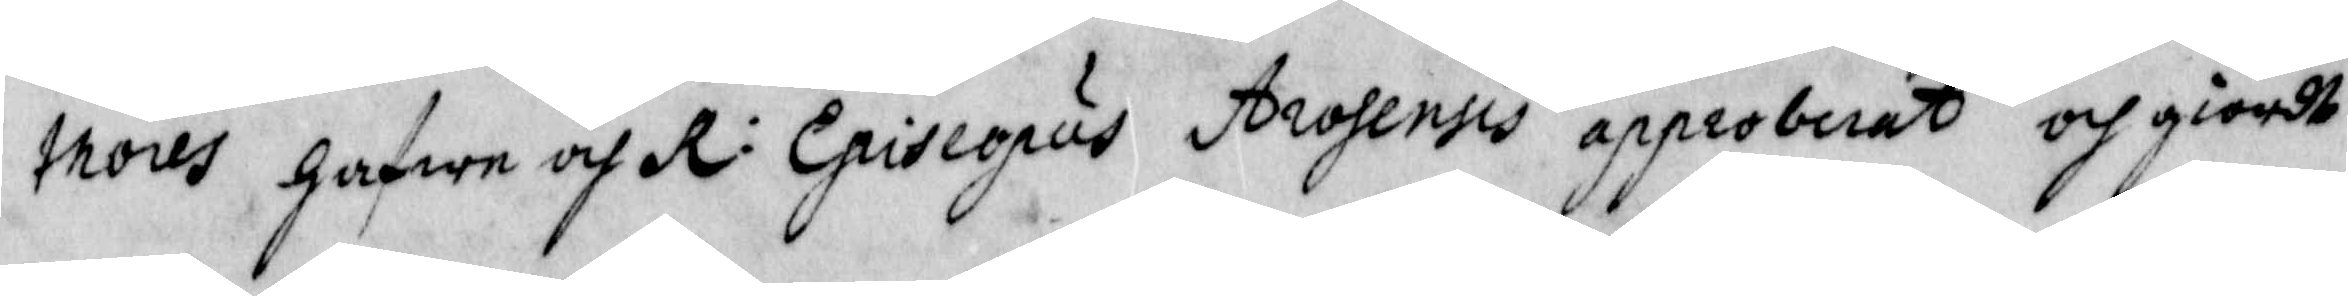thores hafwa och R: Episeopus Arosensis approberat och giordt
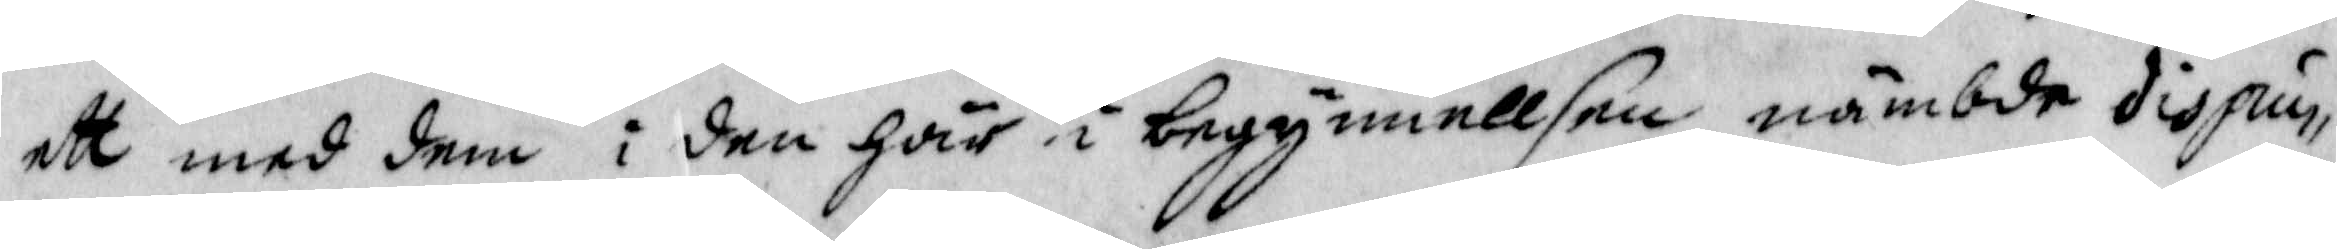eyy med dem i den här i begynnellsen nämbde dispus¬
